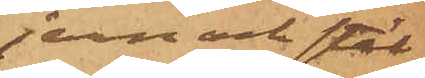jern och stål¬
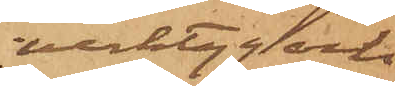verktyg och
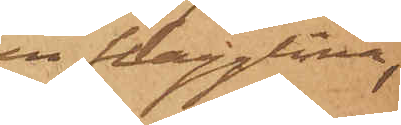en flagglina;
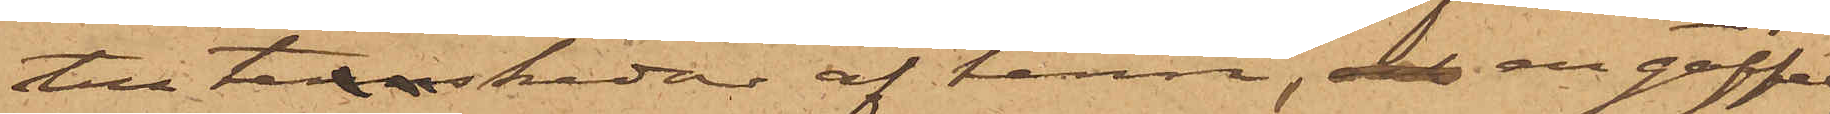tre tennskedar af tenn, och en gaffel,
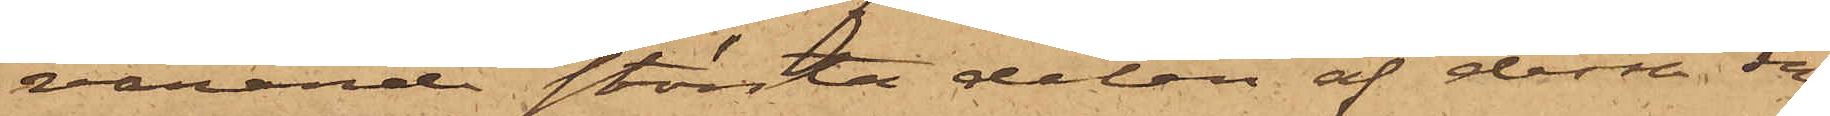varande största delen af dessa sa¬
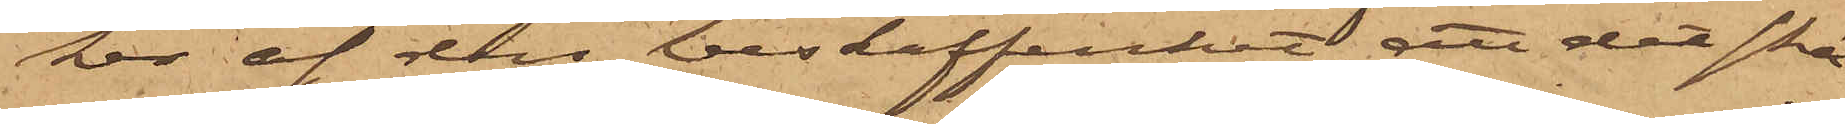ker af den beskaffenhet, att det skä¬
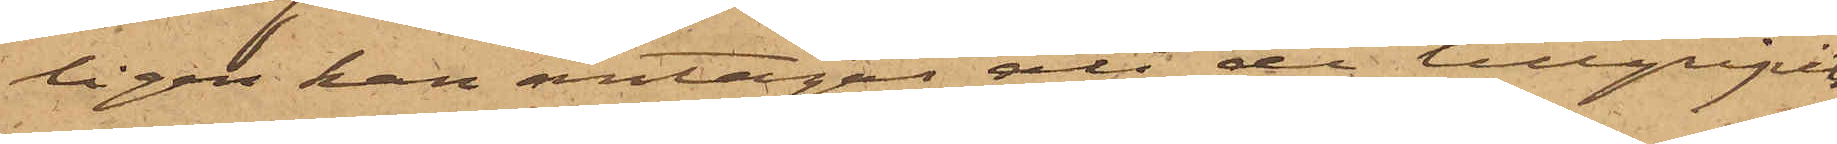ligen kan antagas att de tillgripits
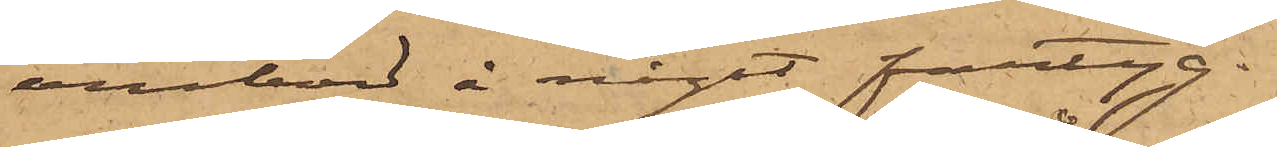ombord å något fartyg.
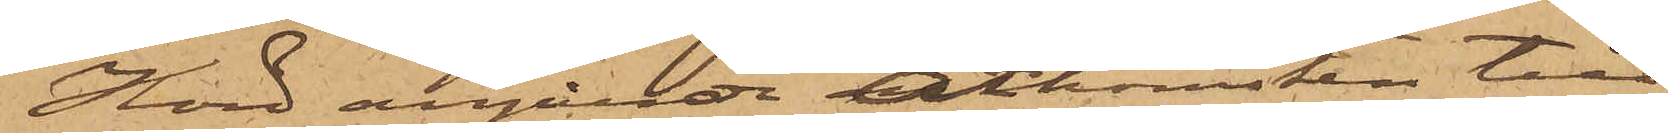Hörd angående åtkomsten till¬
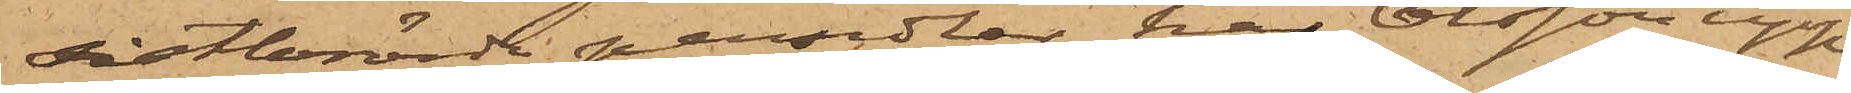sistberörde persedlar har Olsson upp¬
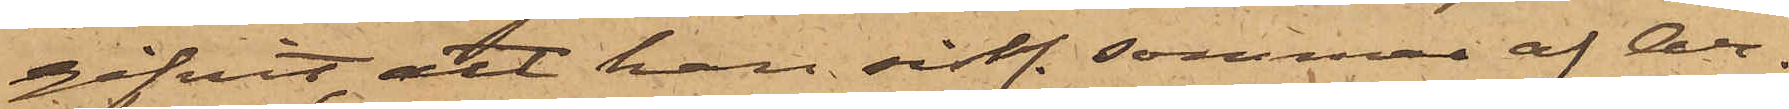gifvit att han sistl. sommar af Ar¬
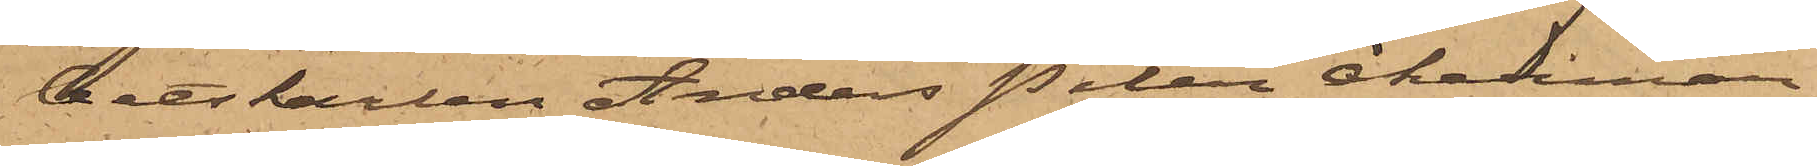betskarlen Anders Peter Åkerman,
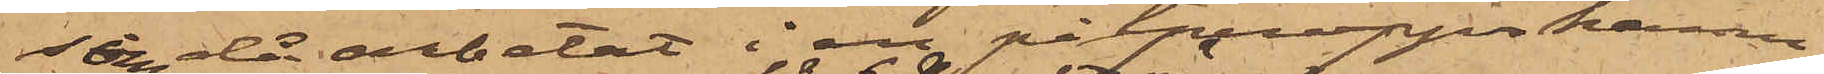som då arbetat i en pitproppshamn
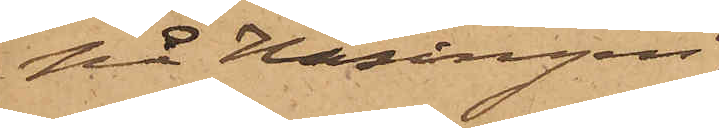på Hisingen,
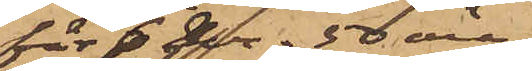för 6 kr. 50 öre
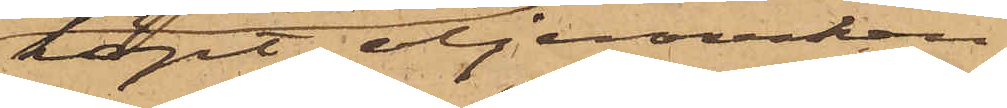köpt oljerocken
